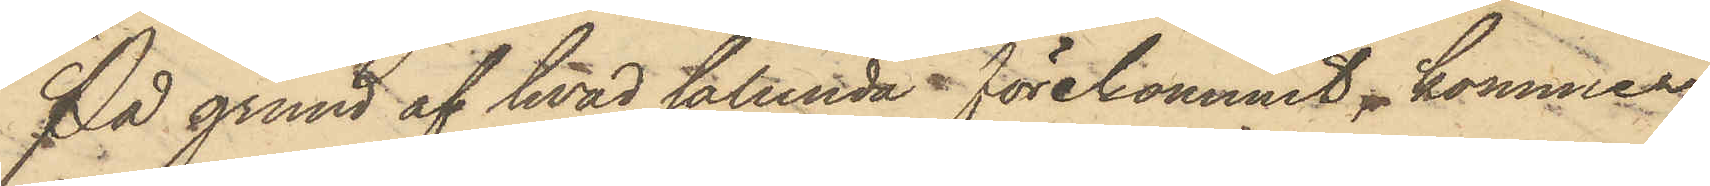På grund af hvad sålunda förekommit, kommer
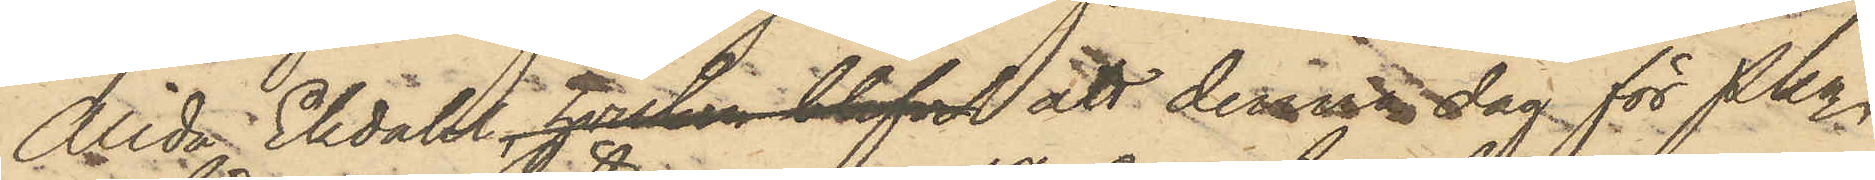Alida Ekdahl, hvilken blifvit att denna dag för Pkn
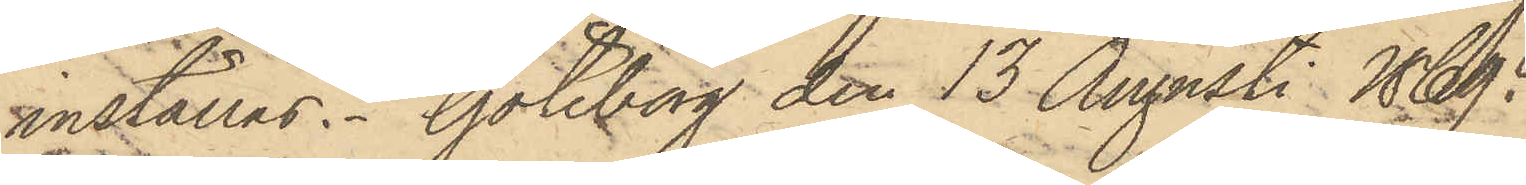inställas. Göteborg den 13 Augusti 1869.
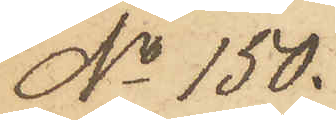No 150.
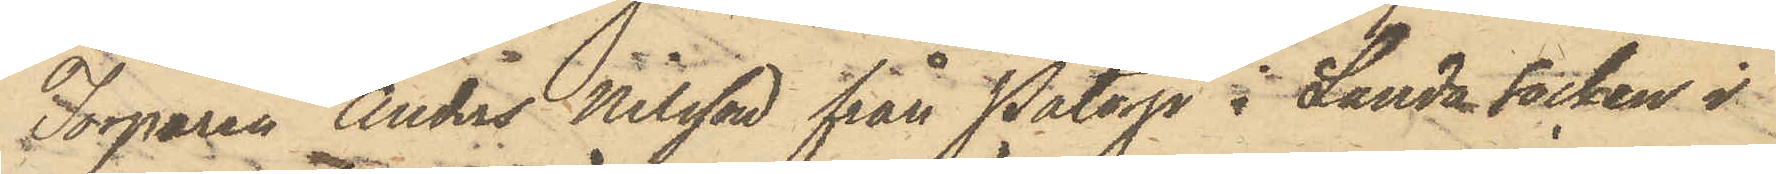Torparen Anders Nilsson från Påtorp i Landa socken i
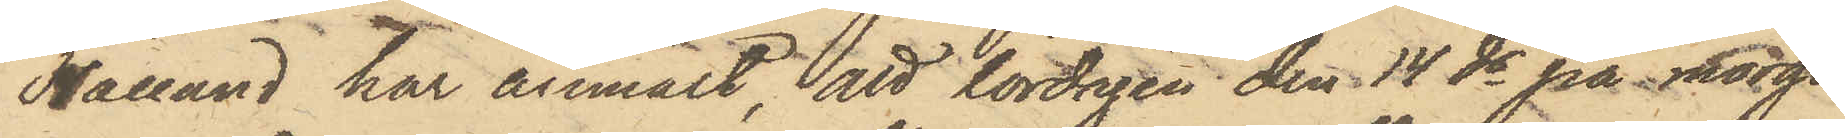Halland har anmält, att lördagen den 14 ds på morgo¬
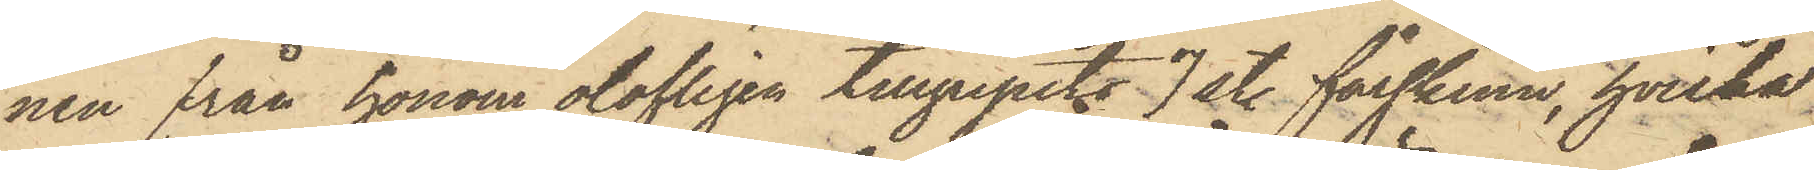nen från honom olofligen tillgripits 7 st. fårskinn, hvilka
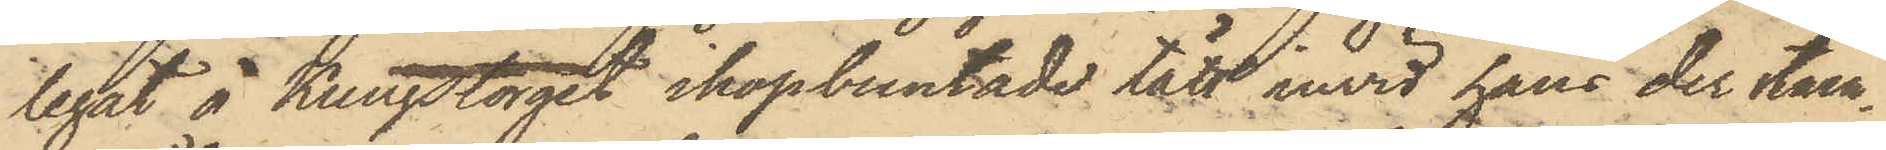legat å Kungstorget ihopbuntade tätt invid hans der ståen¬
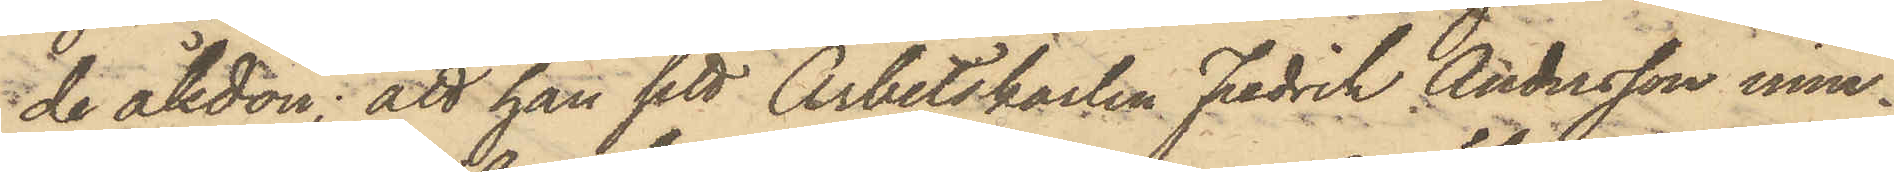de åkdon; att han sett Arbetskarlen Fredrik Andersson inne¬
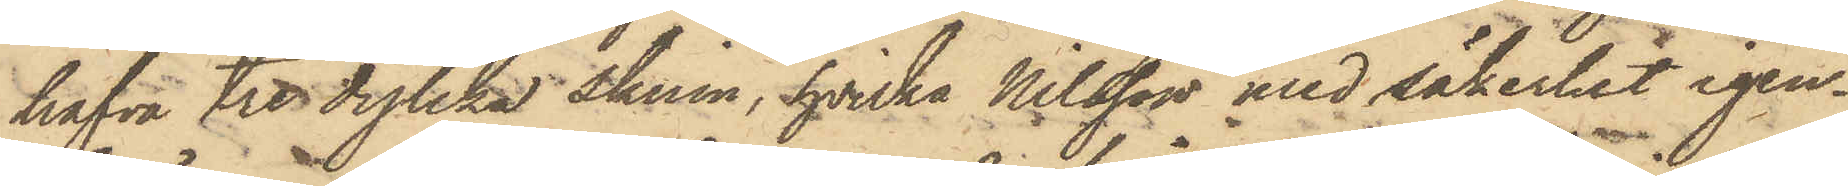hafva tre dylika skinn, hvilka Nilsson med säkerhet igen¬
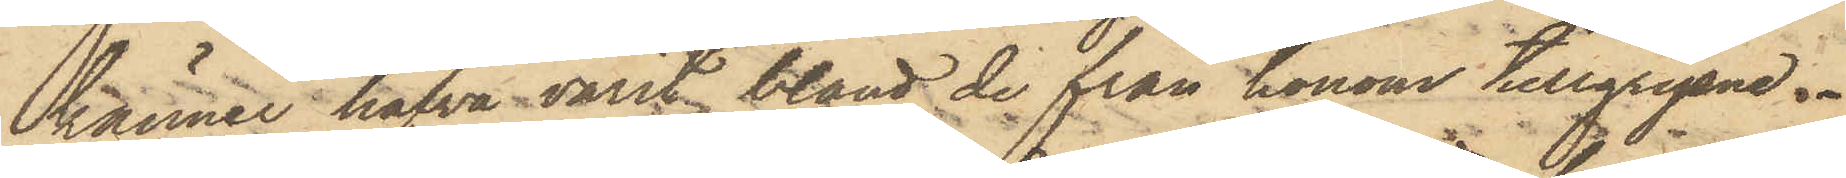känner hafva varit bland de från honom tillgripne.
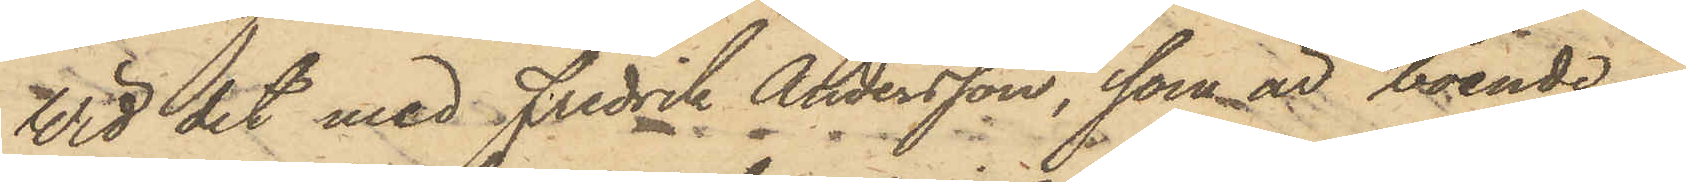Wid det med Fredrik Andersson, som är boende i
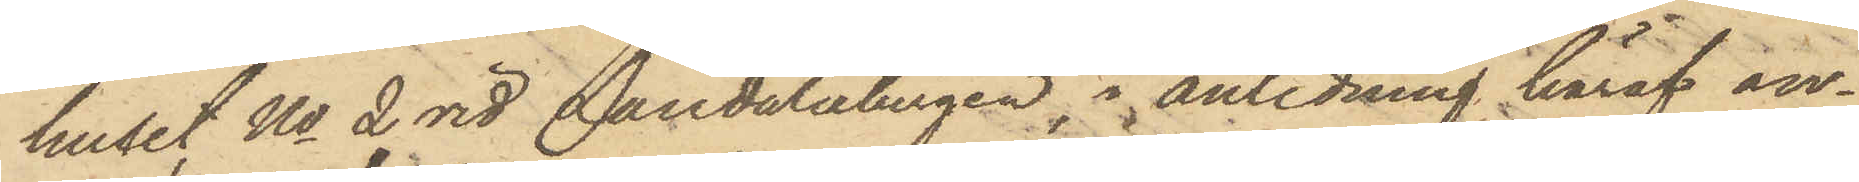huset No 2 vid Landalabergen, i anledning häraf an¬
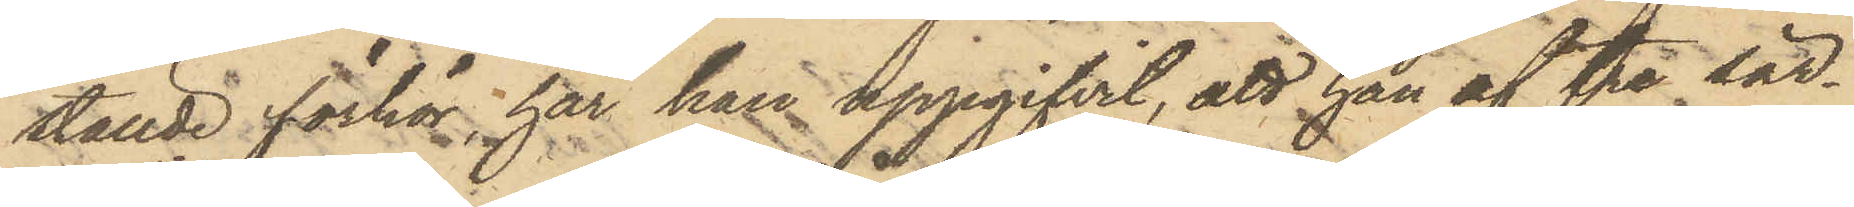ställde förhör, har han uppgifvit, att han af tre sär¬
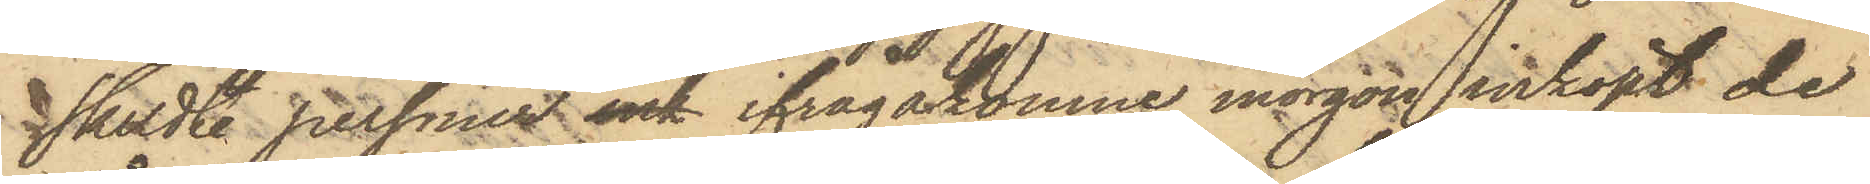skildte personer ink ifrågakomne morgon inköpt de
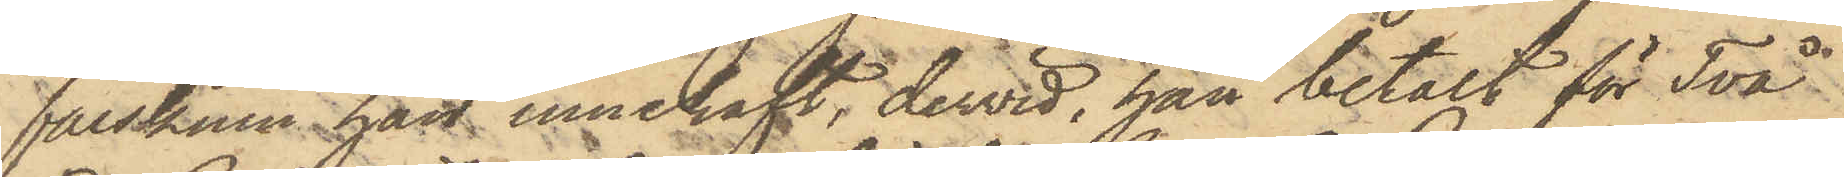fårskinn han innehaft, dervid, han betalt för Två
